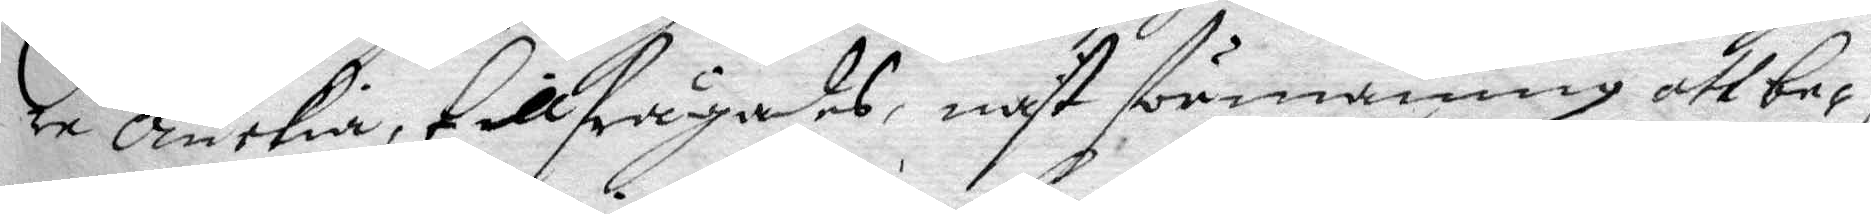re Änkia, tillfrågades, näst förmaning att be¬
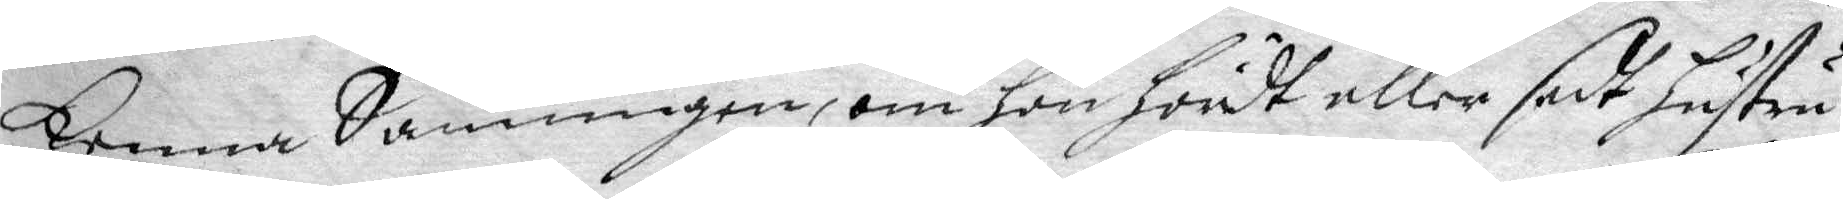kenna Sanningen, om hon hördt eller sedt hustru
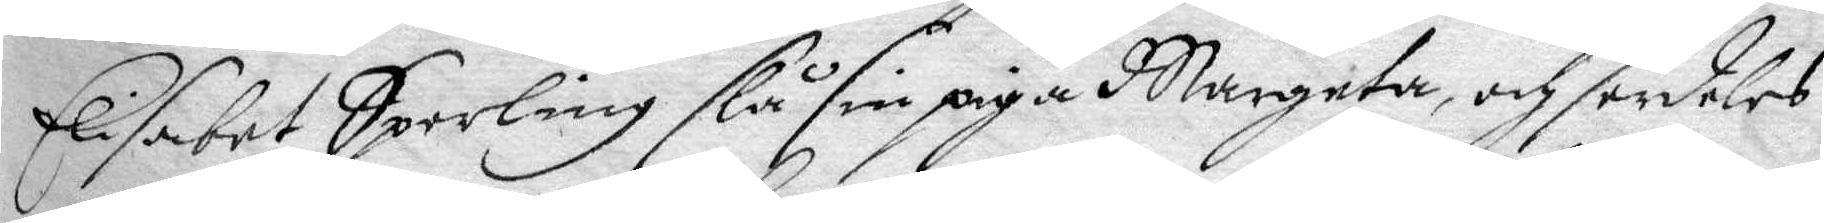Elisabet Sperling slå sin piga Margeta, och serdeles
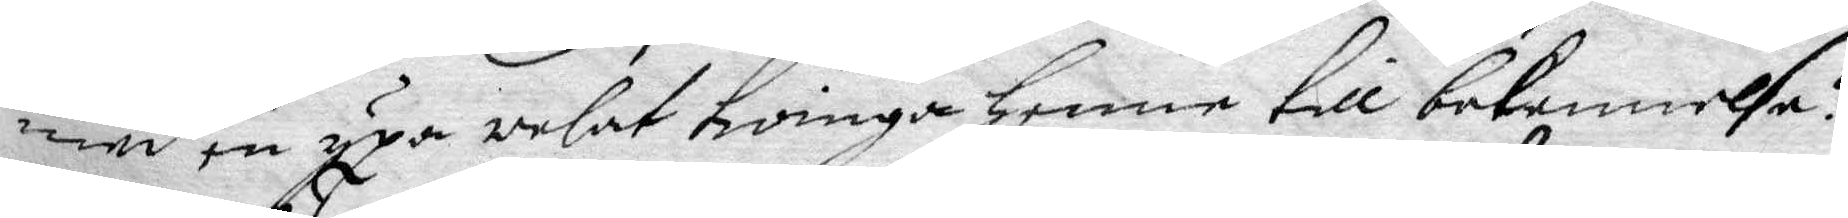med en yxa welat tvinga henne till bekennelse?
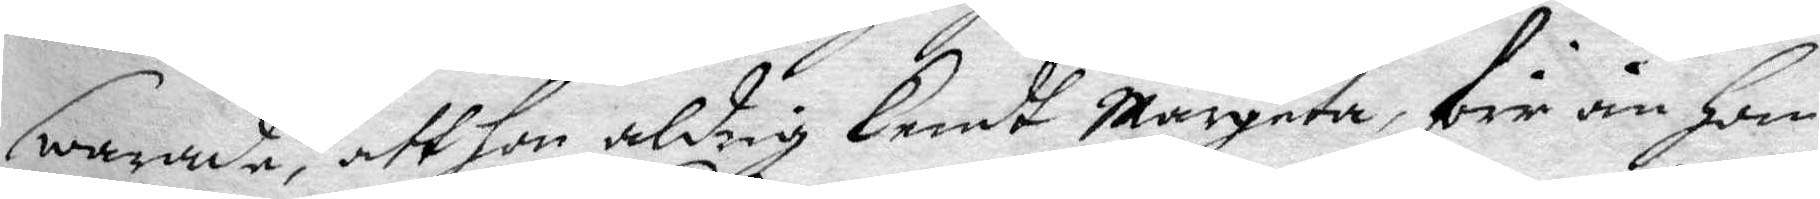Swarade, att hon aldrig kendt Margeta, för än hon
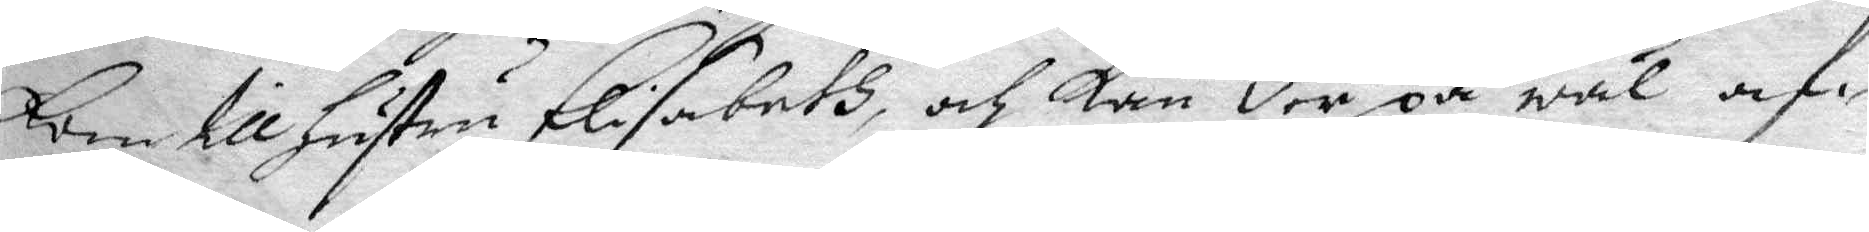kom till hustru Elisabeth, och kan der på wäl af¬
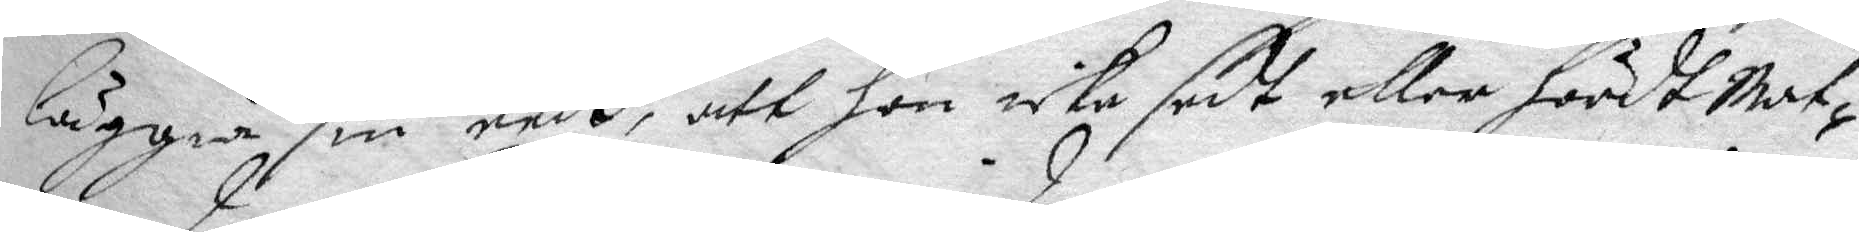läggia sin eedh, att hon icke sedt eller hördt Mat¬
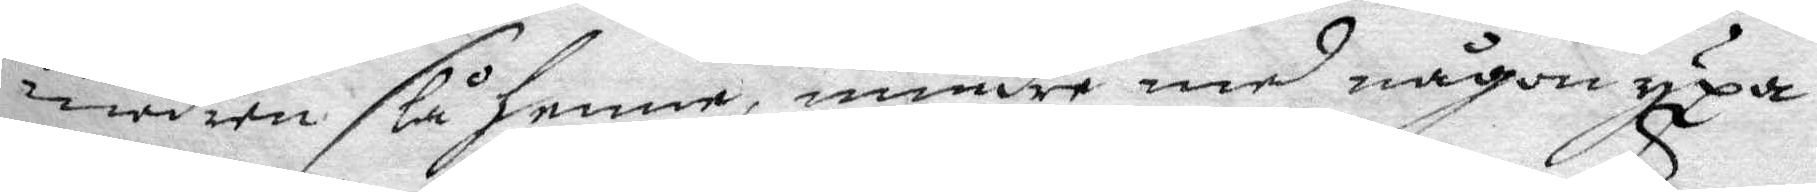modren slå henne, mindre med någon yxa
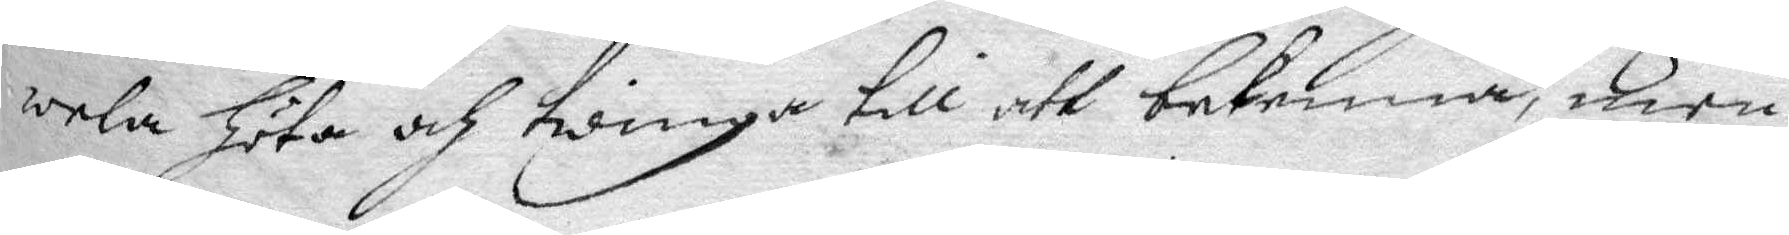wela höta och twinga till att bekenna, men
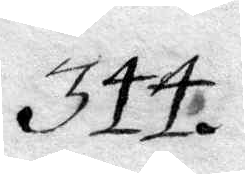344.
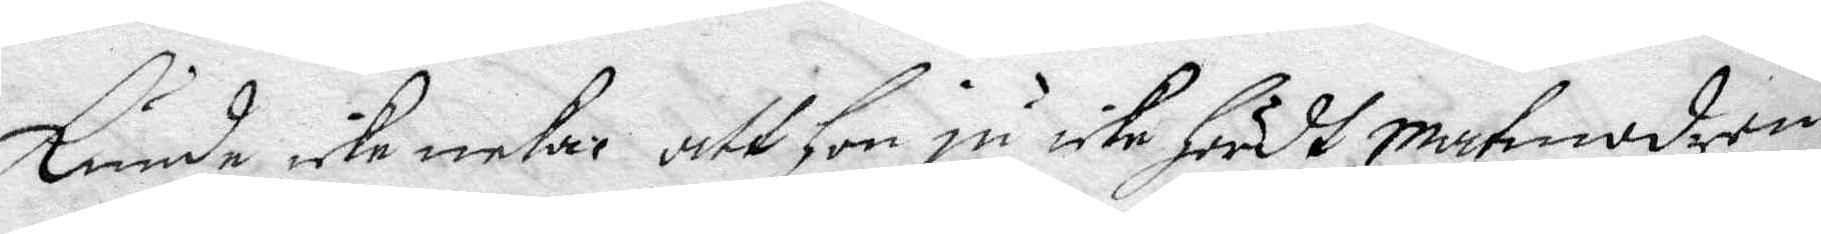kunde icke neka att hon ju icke hördt matmodren
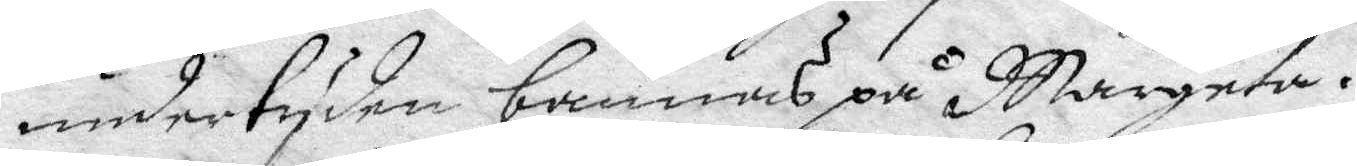under tyden bannas på Margeta.
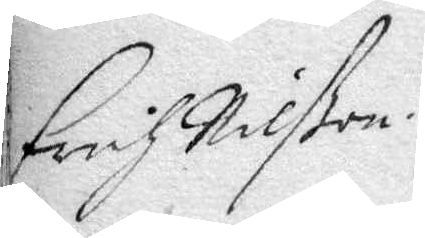Erich Nilßon.
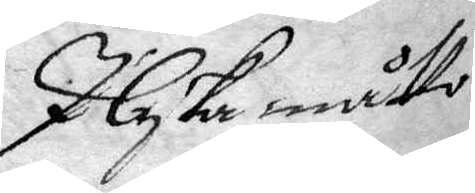I lyka måtto
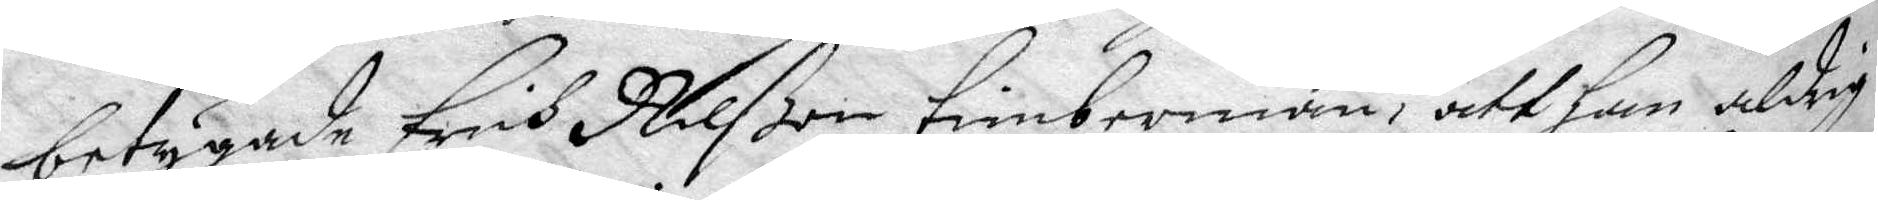betygade Erich Nilßon timberman, att han aldrig
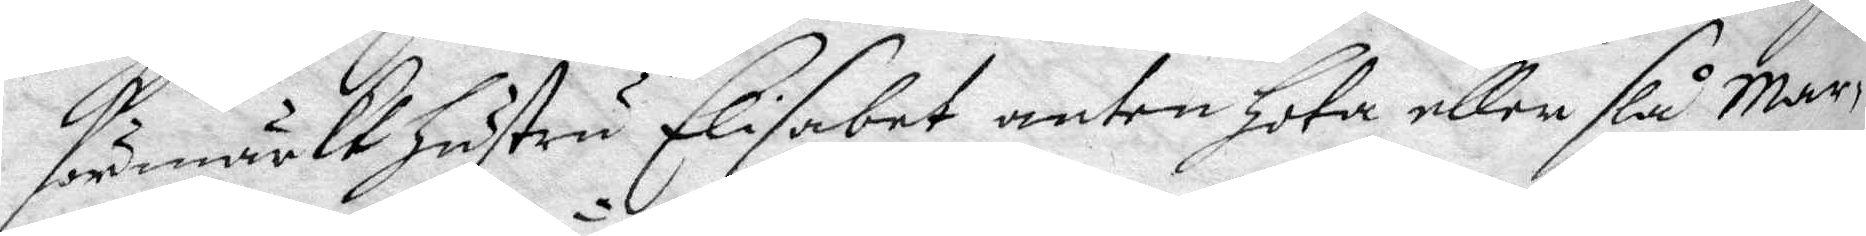förmärkt hustru Elisabet anten hota eller slå Mar¬
